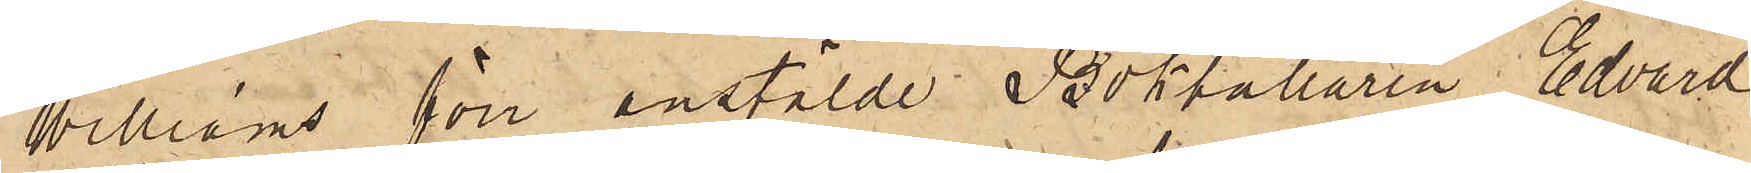Williams förr anstälde Bokhållaren Edvard
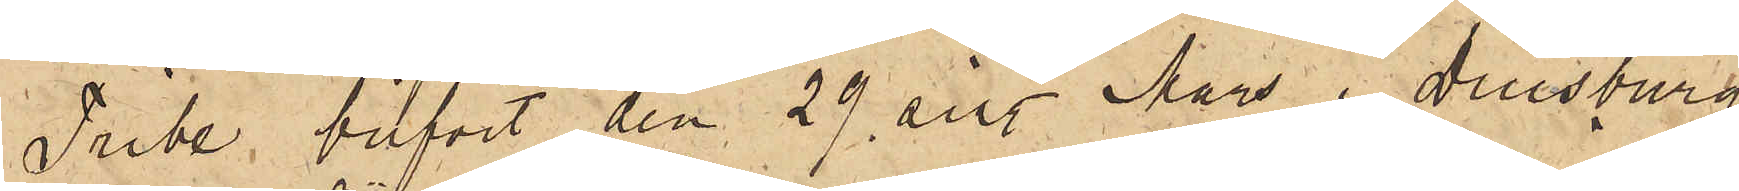Tribe, blifvit den 29 sist. Mars i Duisburg
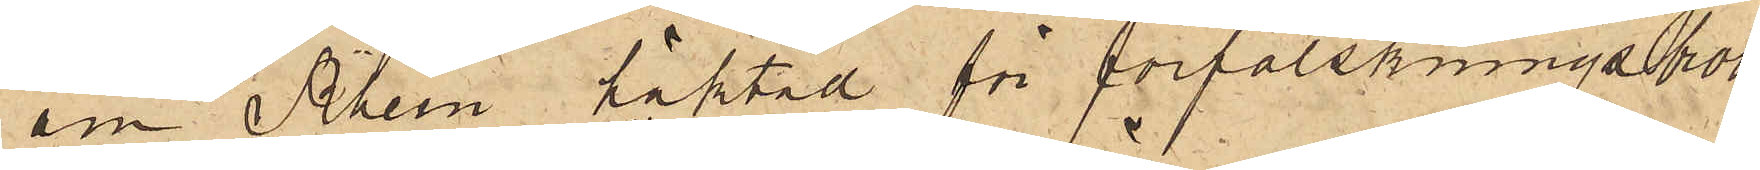am Rhein häktad för förfalskningsbrott,
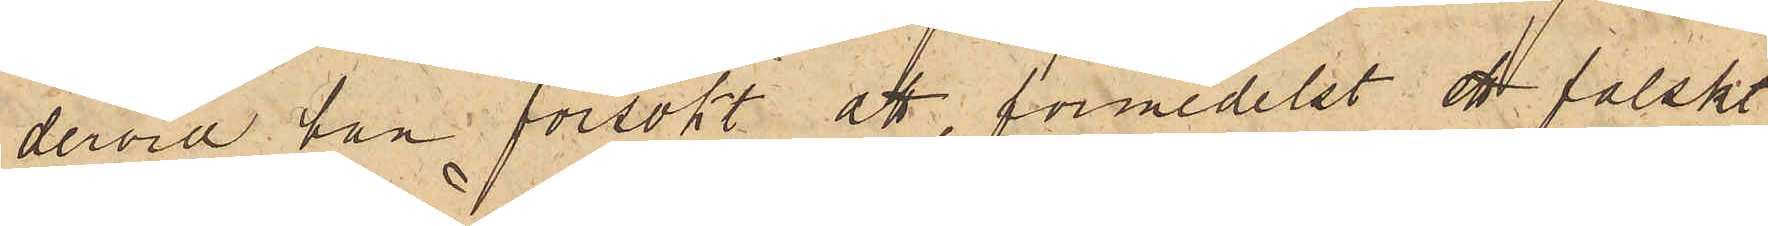dervid han försökt att, förmedelst ett falskt
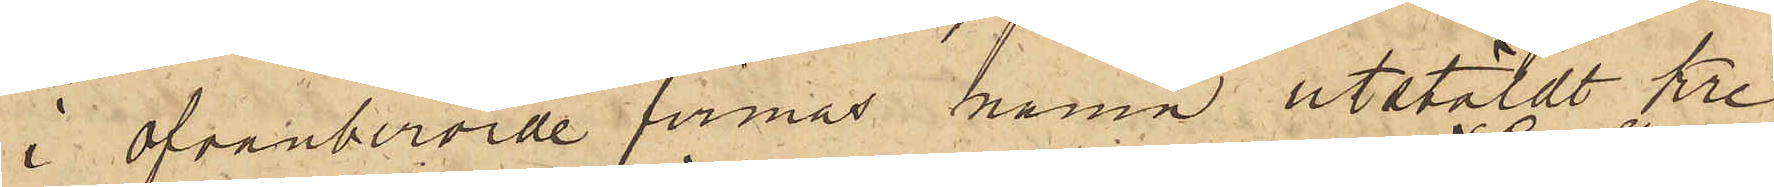i ofvanberörde firmas namn utstäldt kre¬
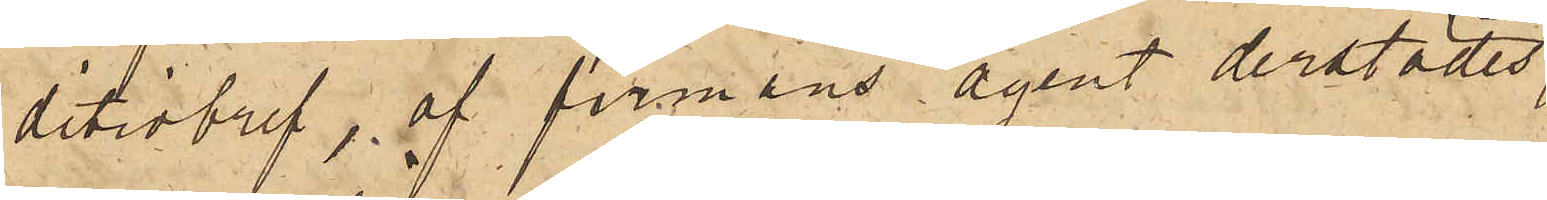ditivbref, af firmans agent derstädes,
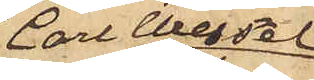Carl Wessel
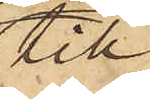till¬
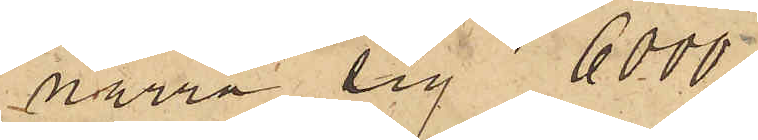narra sig 6000
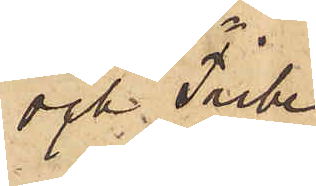och Tribe
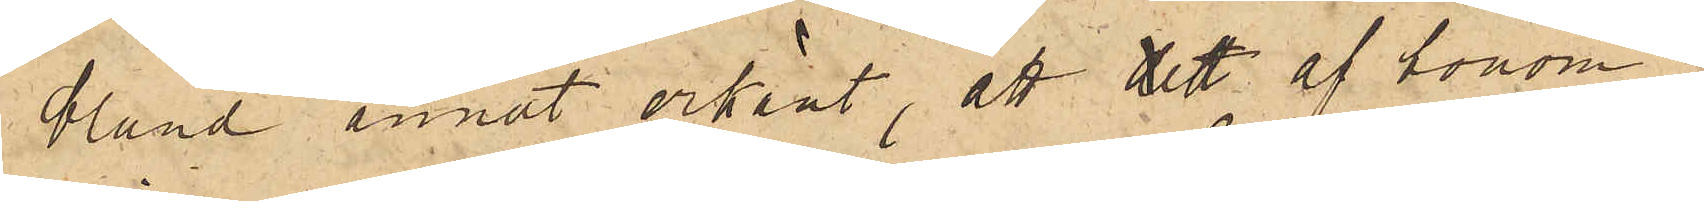bland annat erkänt, att det af honom i
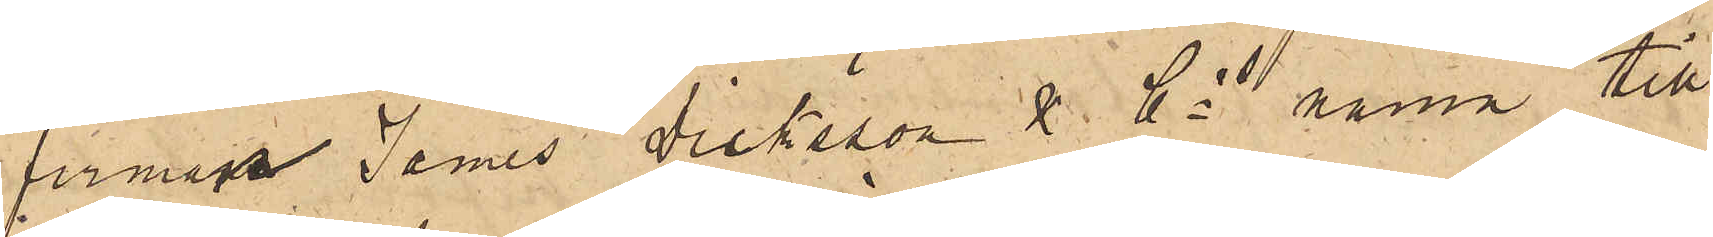firman James Dicksson & Cos namn till
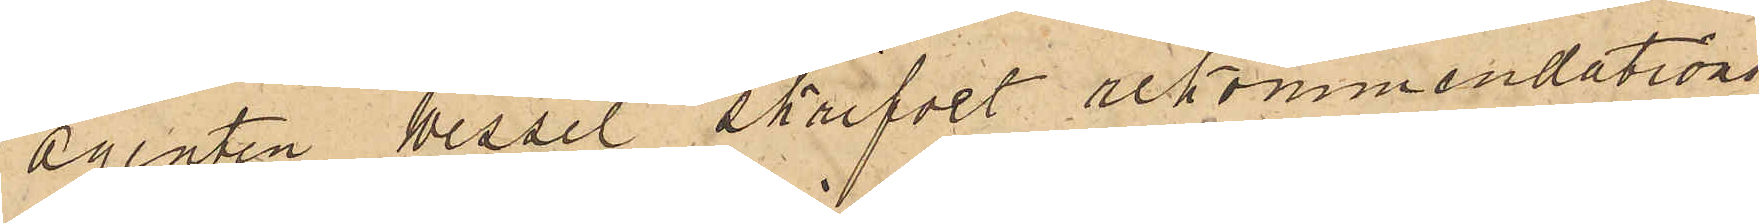agenten Wessel skrifvet rekommendations¬
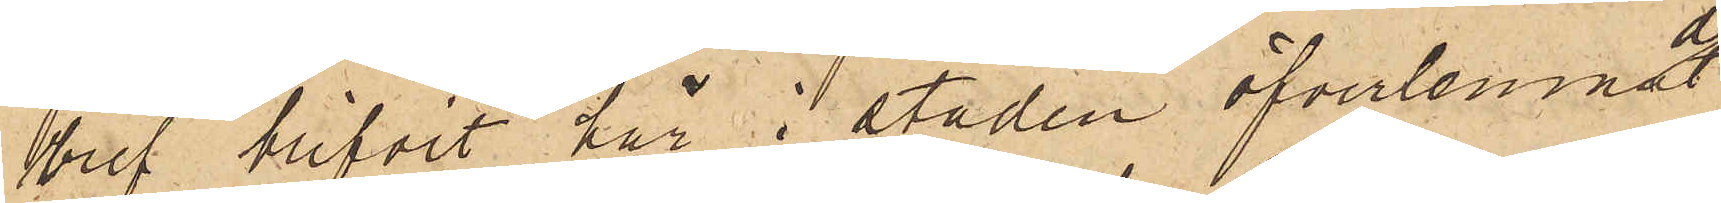bref blifvit här i staden öfverlemnadt
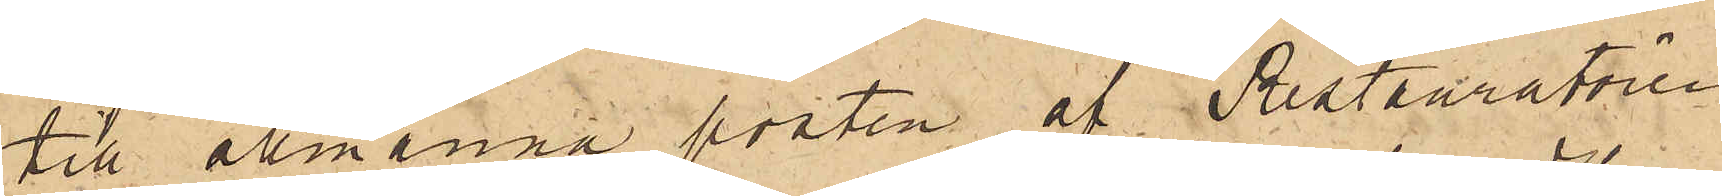till allmänna posten af Restauratören
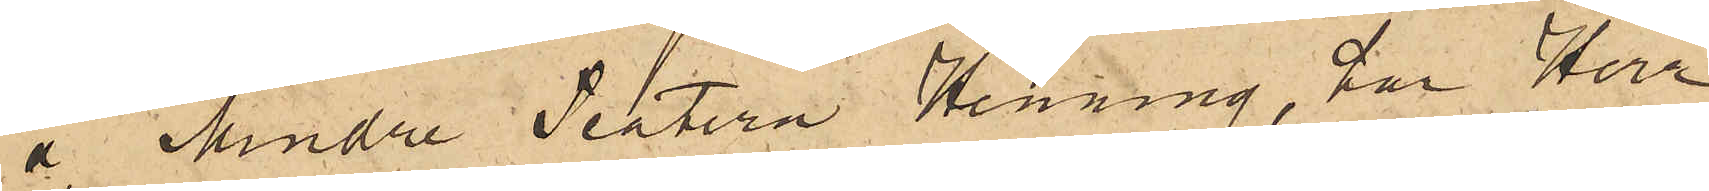å Mindre Teatern Henning, har Herr
